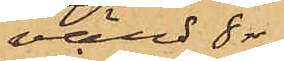värd 8 rdr,
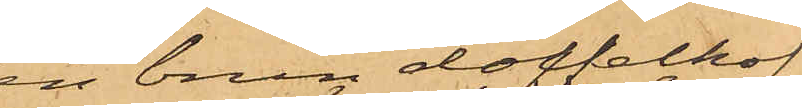en brun doffelkof¬
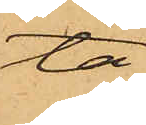ta
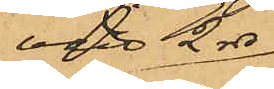värd 2 rdr,
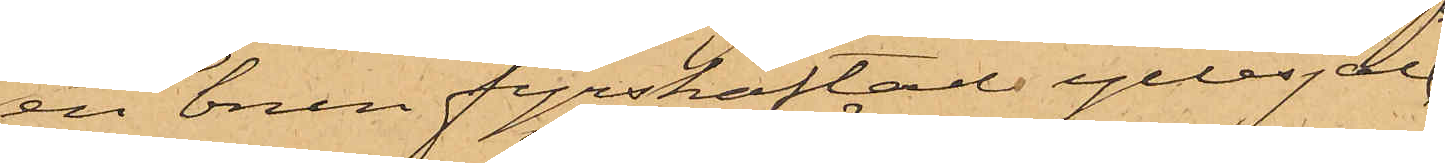en brun fyrskäftad yllesjal
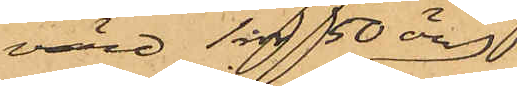värd 1 rdr 50 öre,
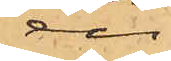en
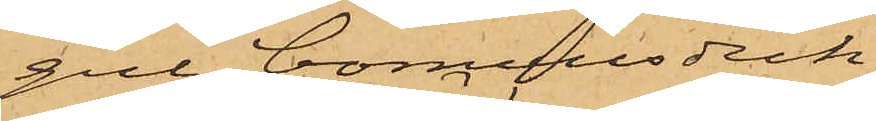gul bomullsduk
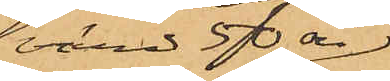värd 50 öre,
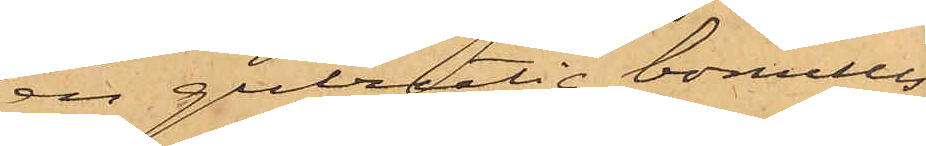en gulrutig bomulls¬
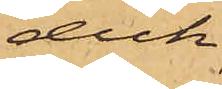duk
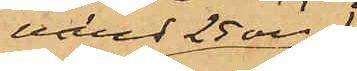värd 25 öre,
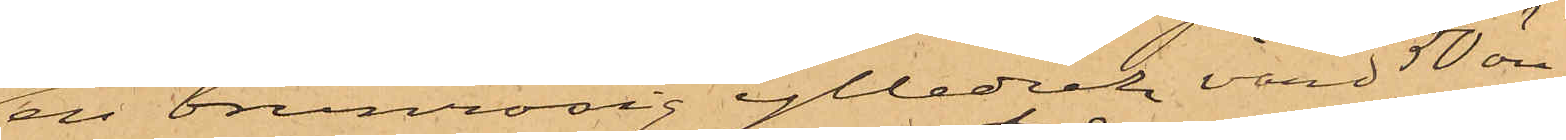en brunrosig ylleduk värd 50 öre
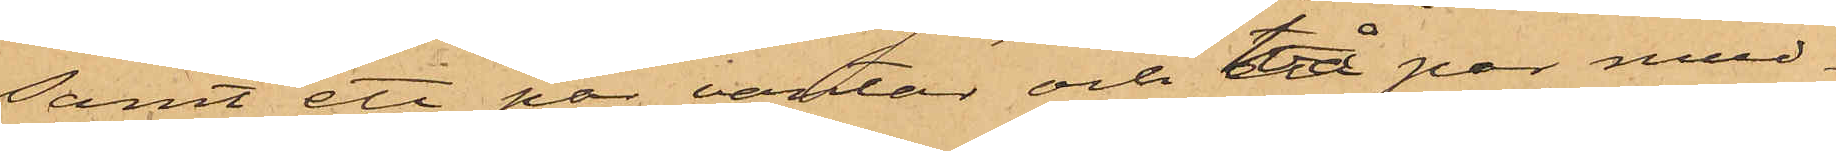samt ett par vantar och ett par mud¬
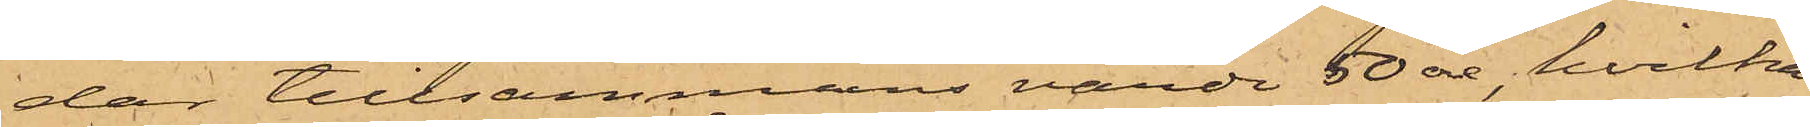dar tillsammans värda 50 öre, hvilka
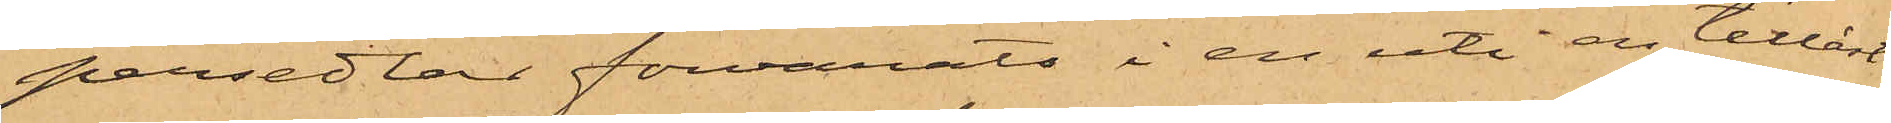persedlar förvarats i en uti en tillåst
